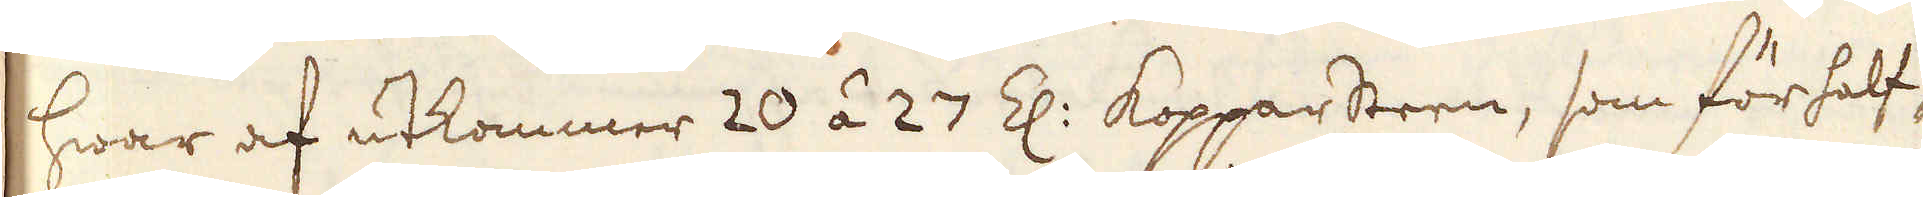hwar af utkommer 20 á 27 Z: Kopparsteen, som för half-
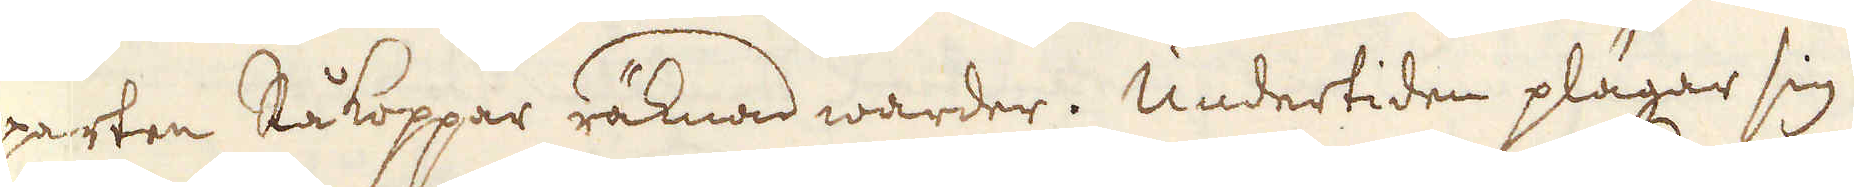parten Råkoppar räknad warder. Undertiden plägar sig
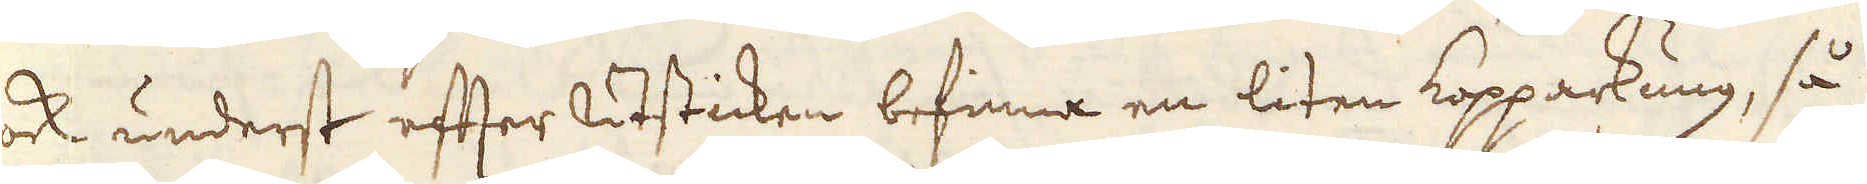ock underst efter utsticken befinna en liten Kopparkung, så
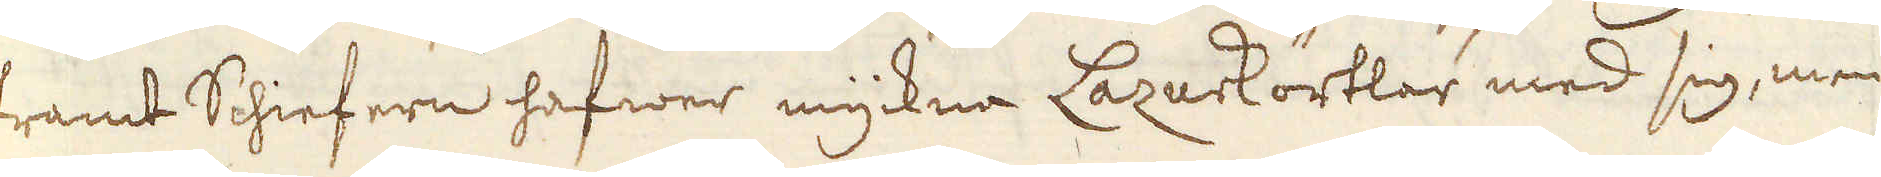framt Schiefern hafwer myckna Lazurkörtlar med sig, men
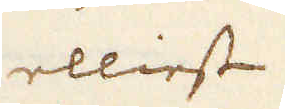elliest
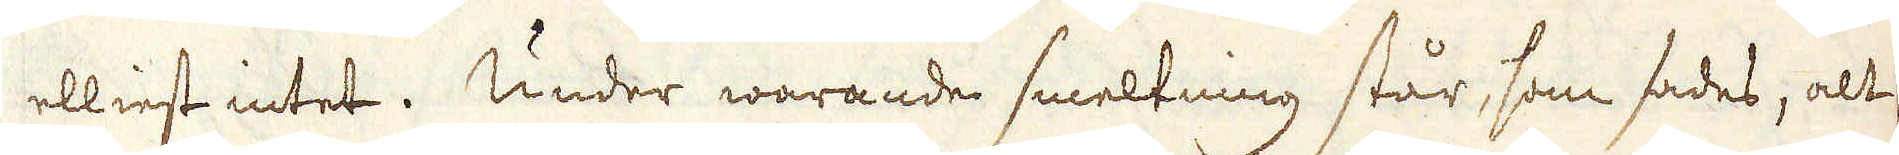elliest intet. Under warande smeltning står, som sades, alt
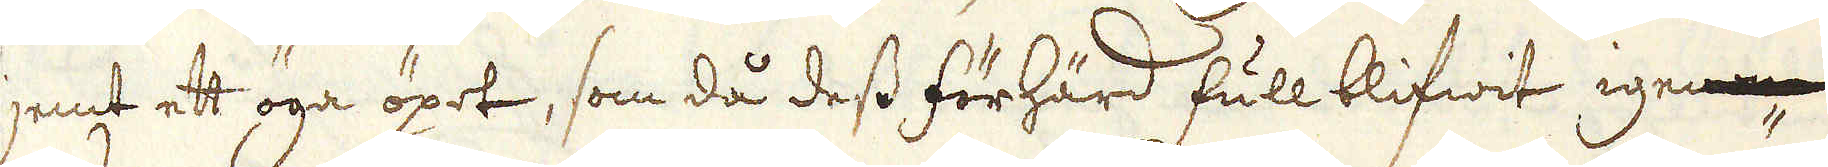jemt ett öga öpet, som då dess förhärd full blifwit igenom-
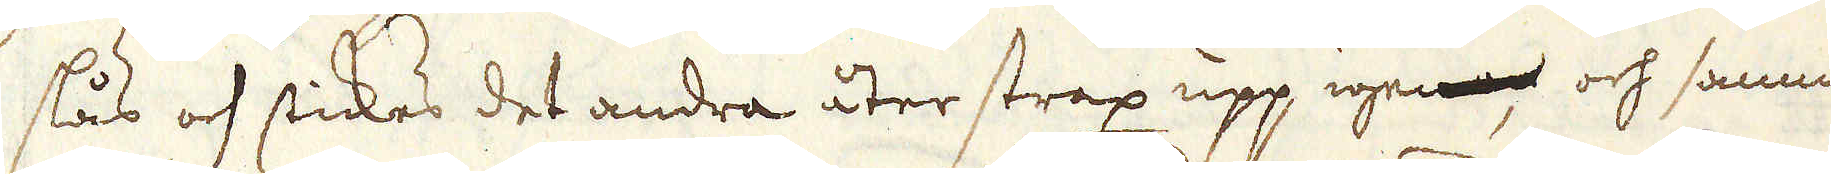slås och stickes det andra åter strax upp igenom, och samma-
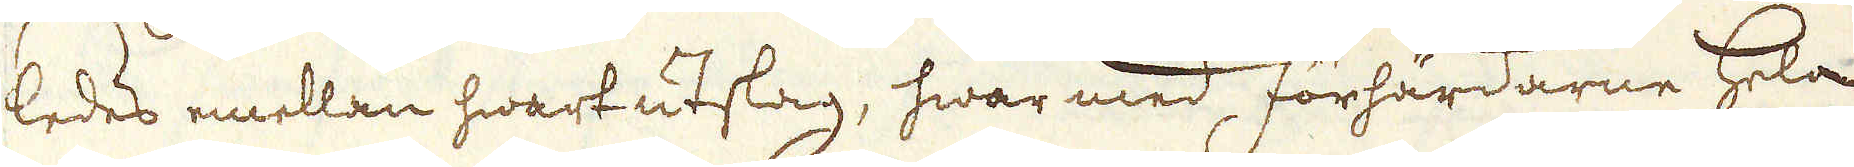ledes emellan hwart utslag, hwar med förhärdarne hela
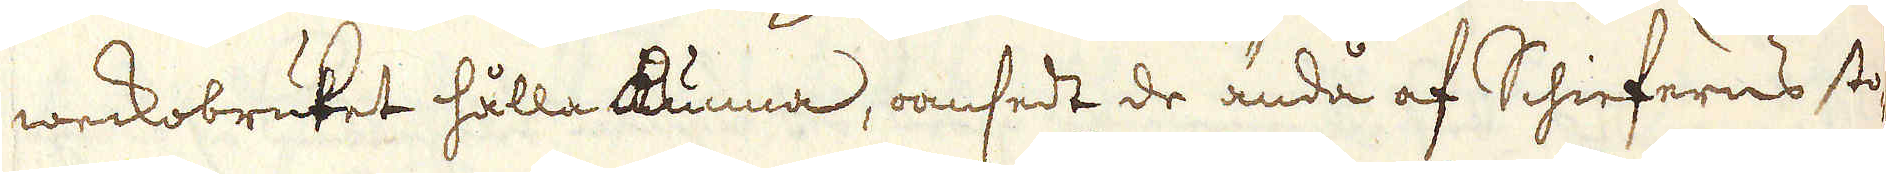weckobruket hålla kunna, oansedt de ändå af Schieferns sto-
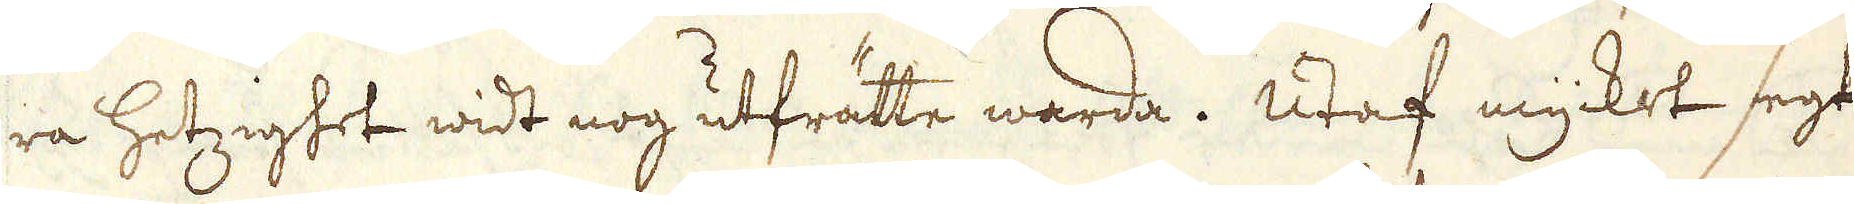ra hetzighet widt nog utfrätte warda. Utaf mycket segt
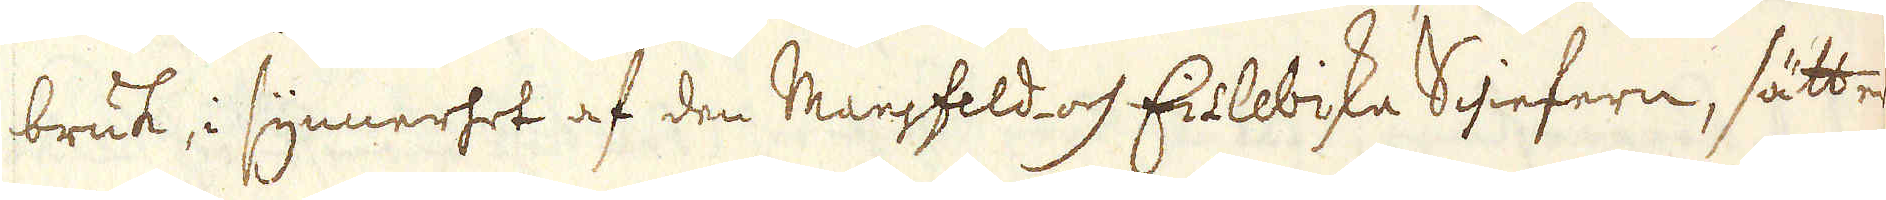bruk, i synnerhet af den Mansfeld- och Eislebiska Schiefern, sätter
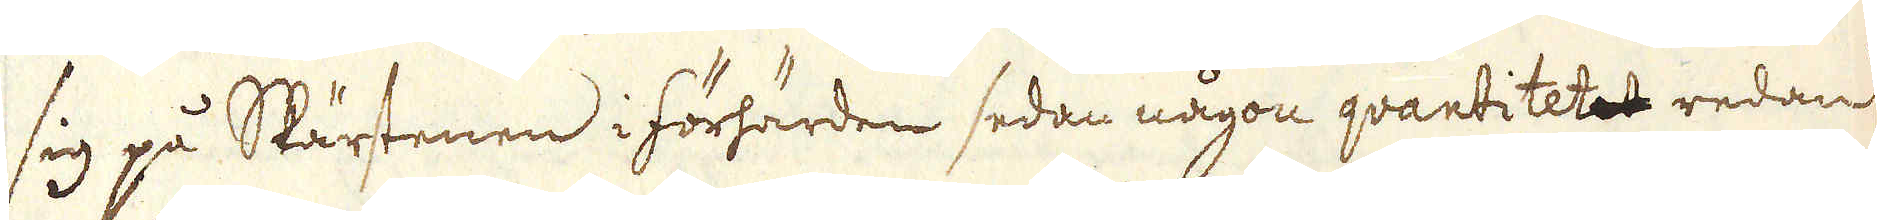sig på Skärstenen i förhärden sedan någon qvantitetet redan
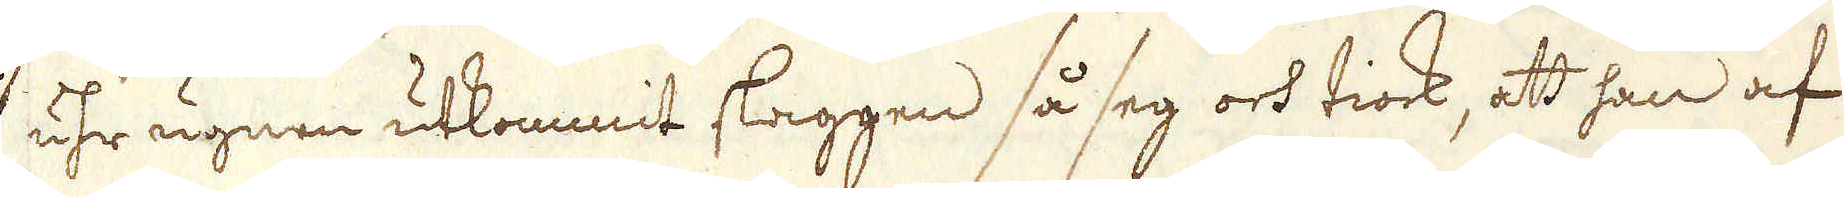uhr ugnen utkommit slaggen så seg och tiock, att han af
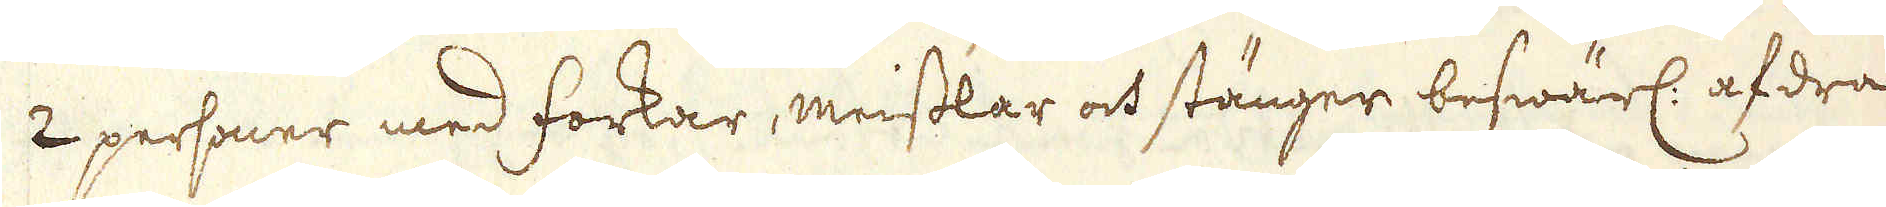2 personer med forkar, meisslar och stänger beswärl: afdra-
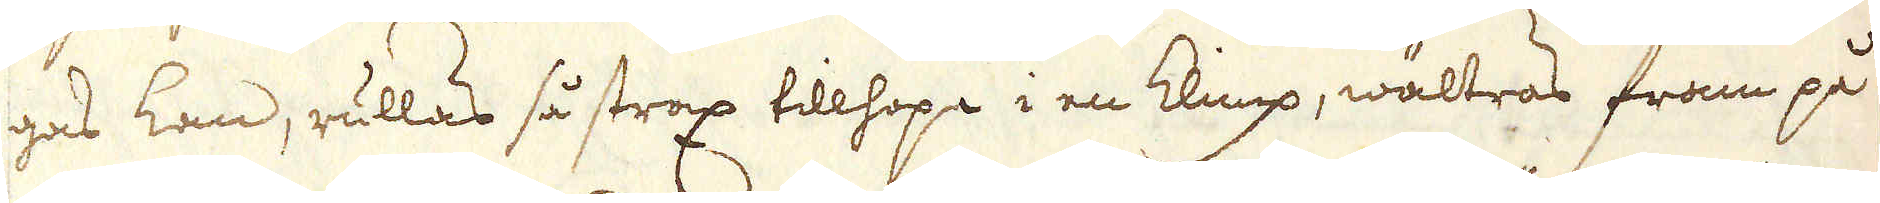gas kan, rullas så strax tillhopa i en klimp, wältras fram på
